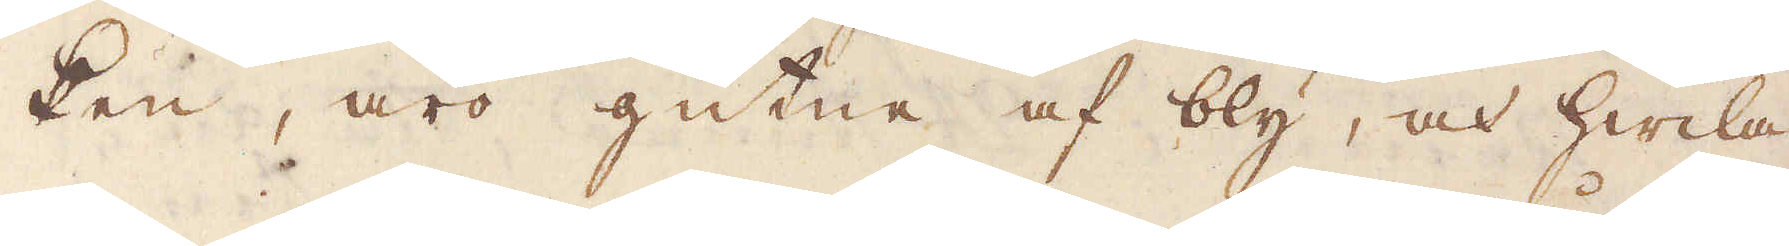ken, äro gutne af bly, och hwila
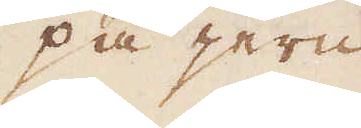på jern
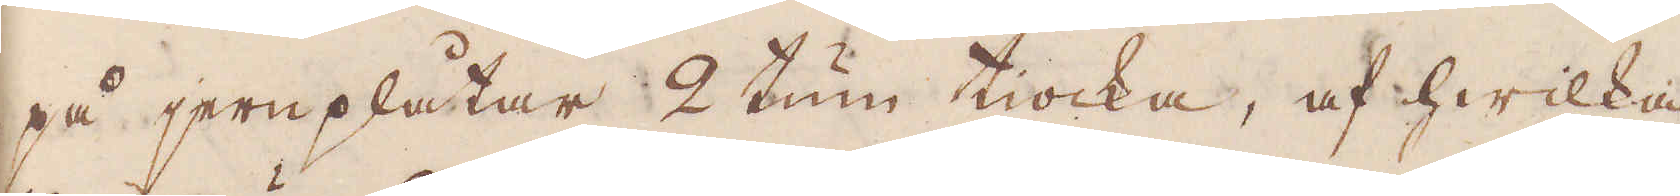på jernplåtar 2 tum tiocka, af hwilka
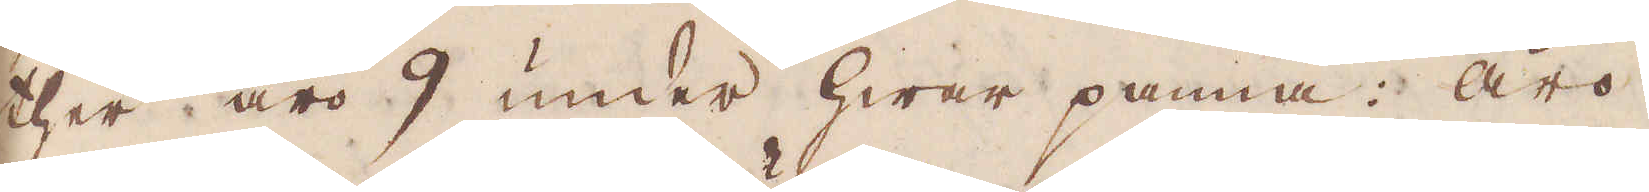ther äro 9 under hwar panna: äro
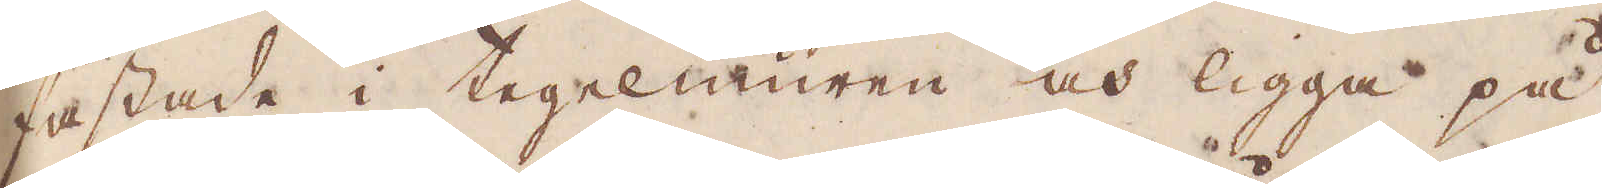fästade i tegelmuren och ligga på
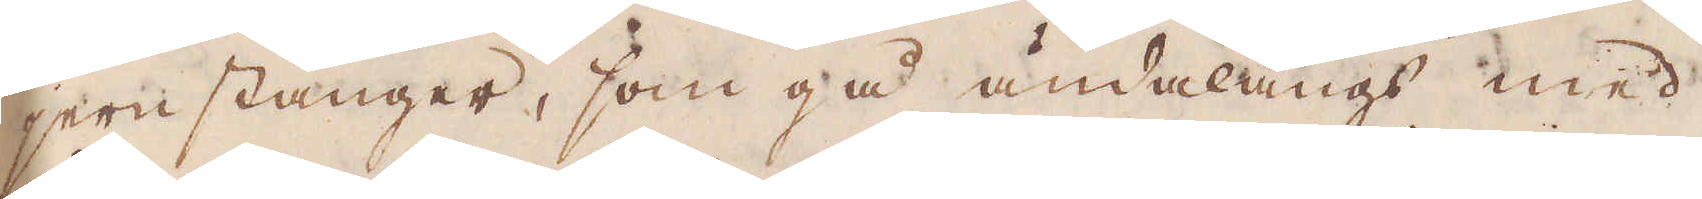jernstänger, som gå ändalångs med
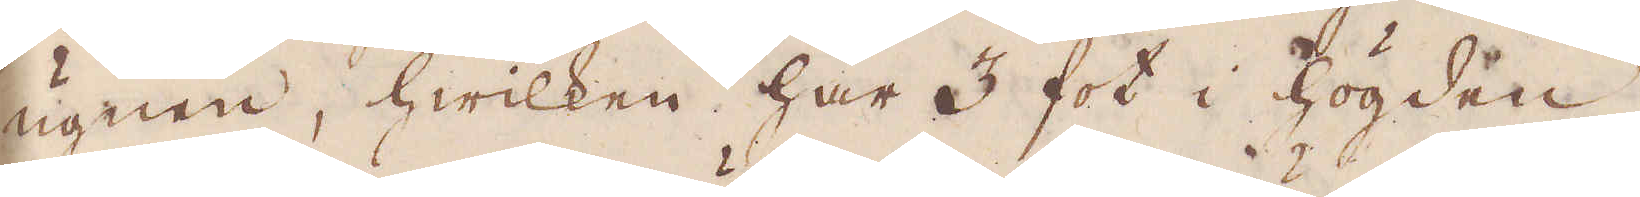ugnen, hwilken har 3 fot i högden
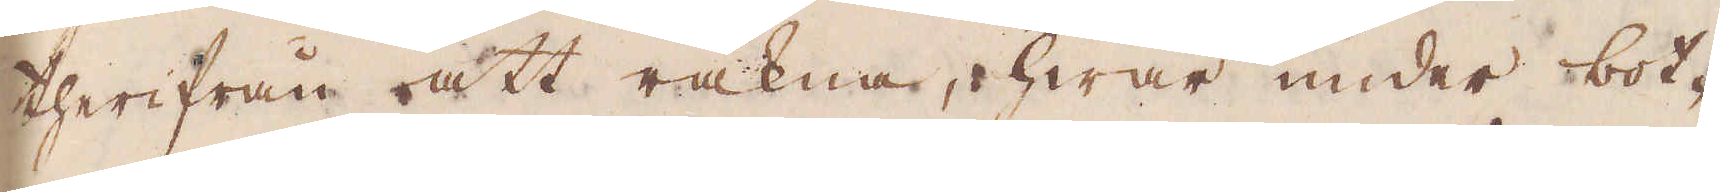therifrån att räkna, hwar under bot-
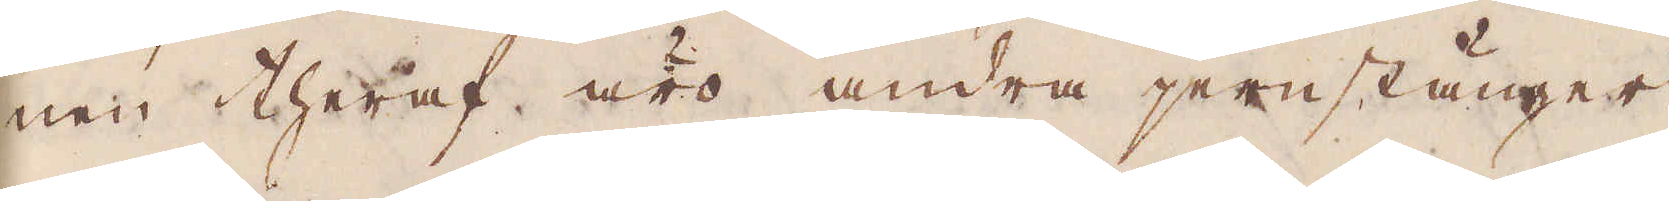nen theraf äro andra jernstänger
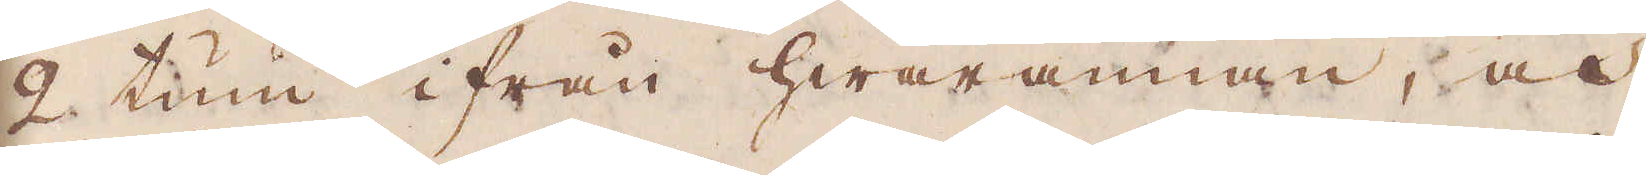2 tum ifrån hwarannan, och
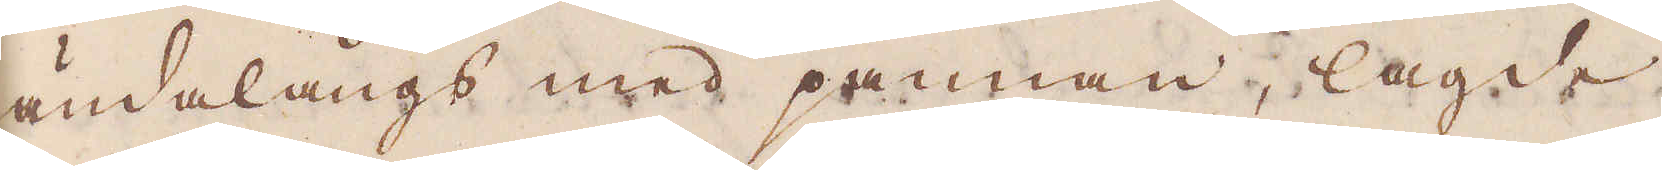ändalångs med pannan, lagde
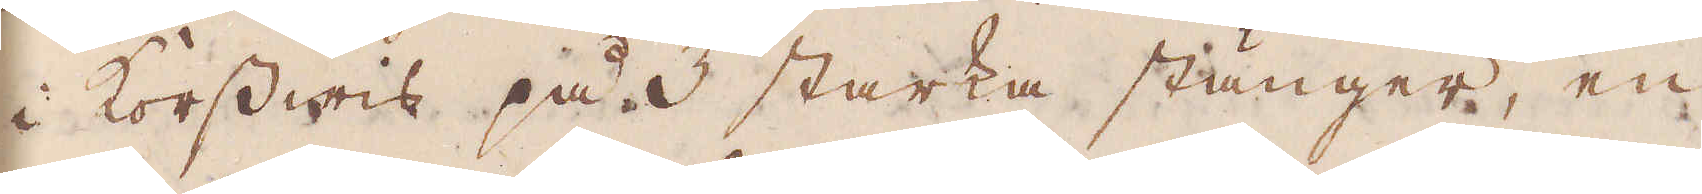i korswis på 3 starka stänger, en
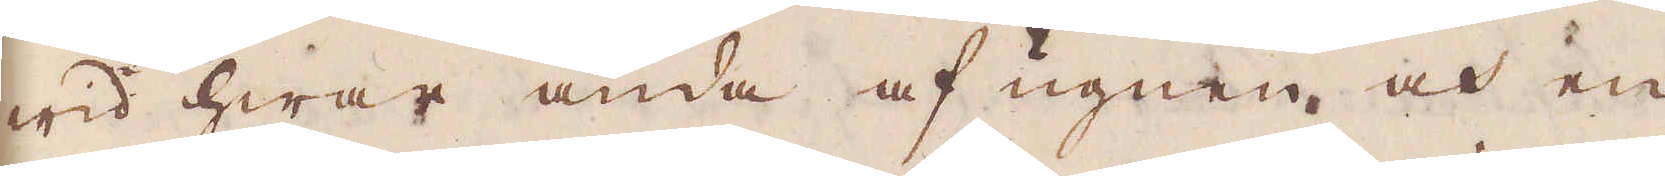wid hwar ända af ugnen, och en
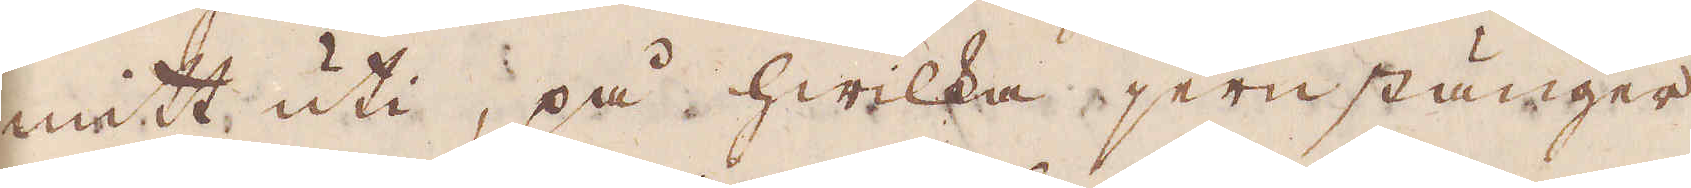mitt uti, på hwilka jernstänger
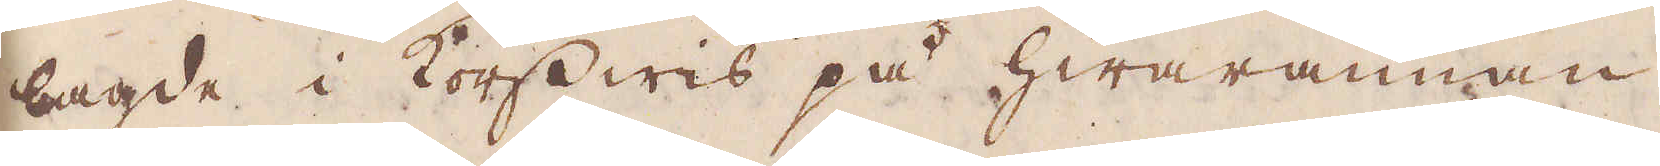lagde i korswis på hwarannan,
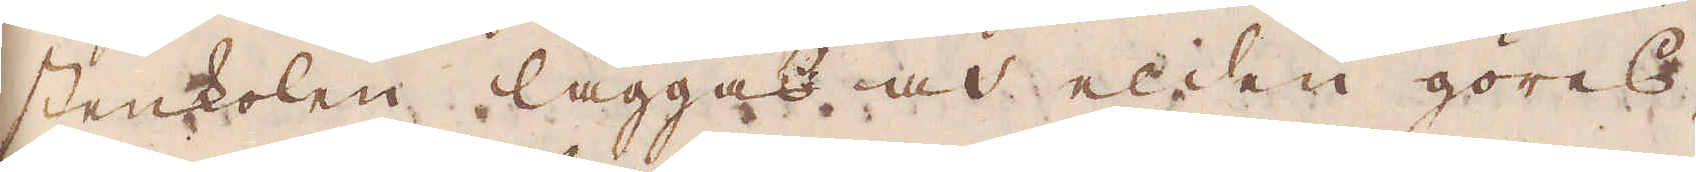stenkolen läggas och elden göres,
